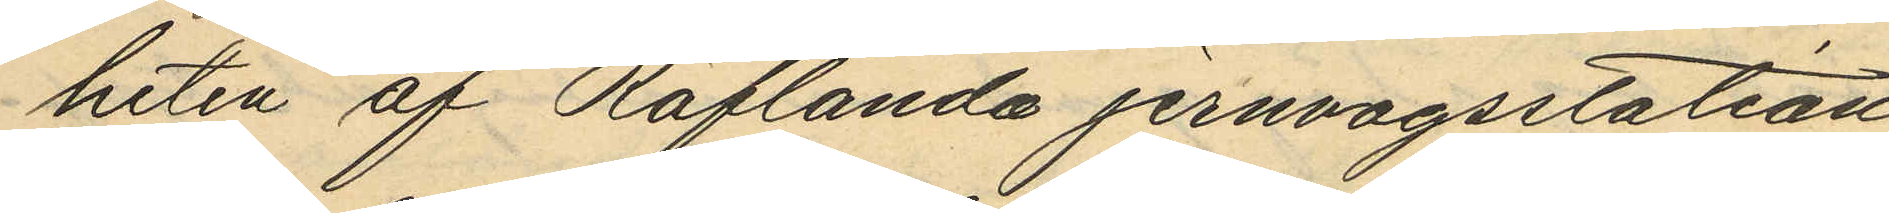heten af Räflanda jernvägsstation
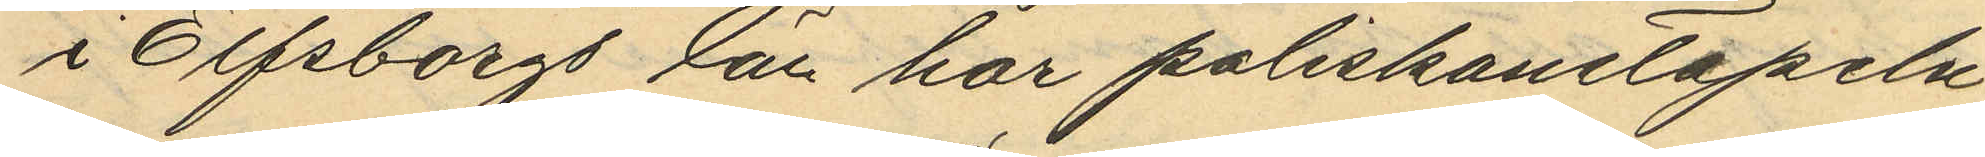i Elfsborgs län har poliskonstapeln
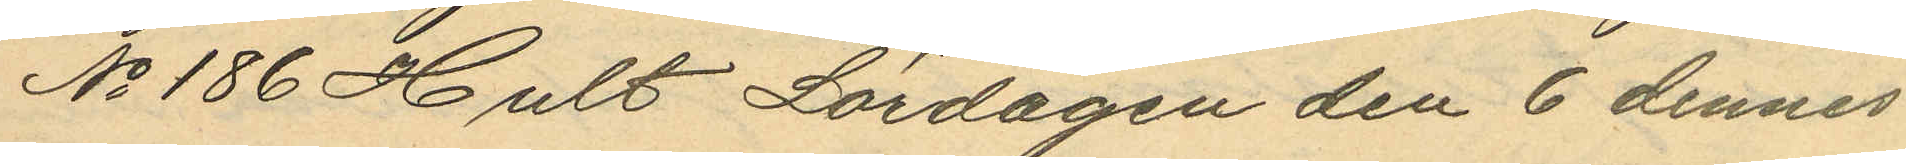No 186 Hult Lördagen den 6 dennes
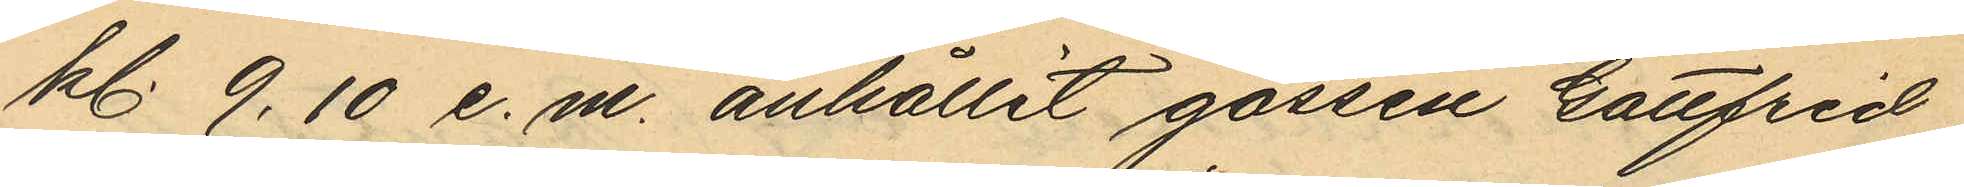kl. 9.10 e.m. anhållit gossen Gottfrid
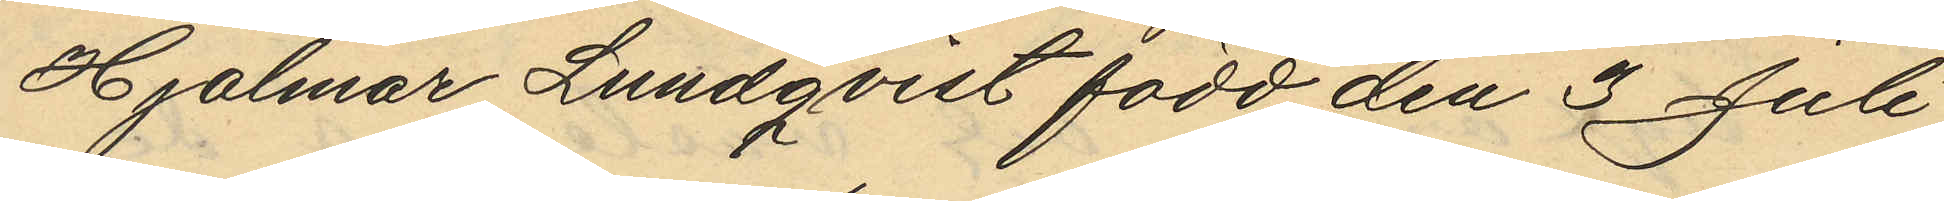Hjalmar Lundqvist född den 3 Juli
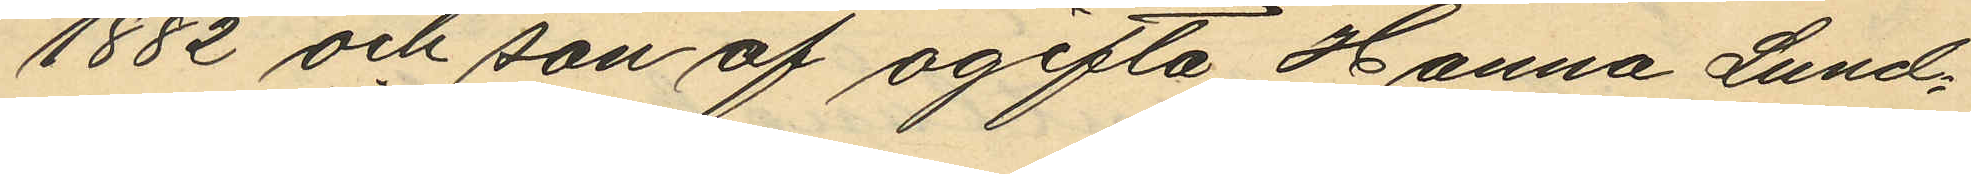1882 och son af ogifta Hanna Lund¬
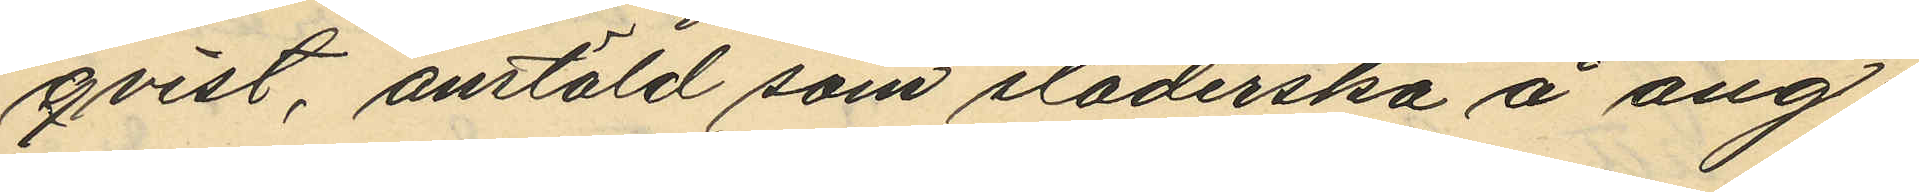qvist, anstäld som städerska å ång¬
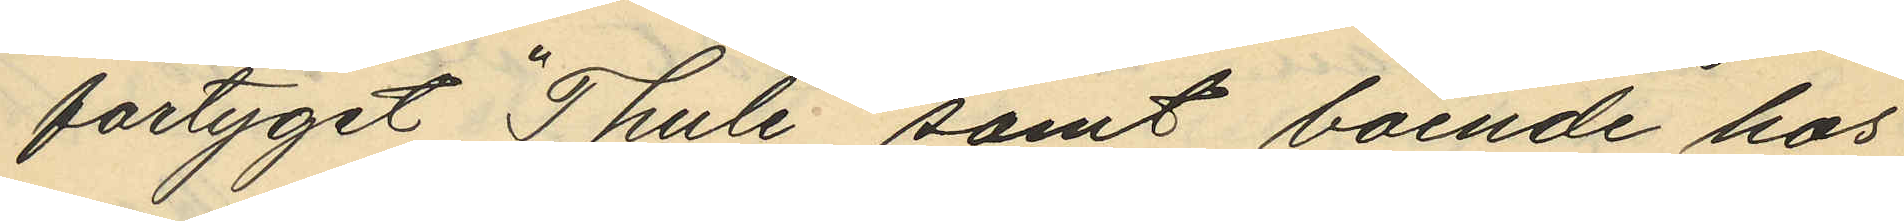fartyget "Thule" samt boende hos
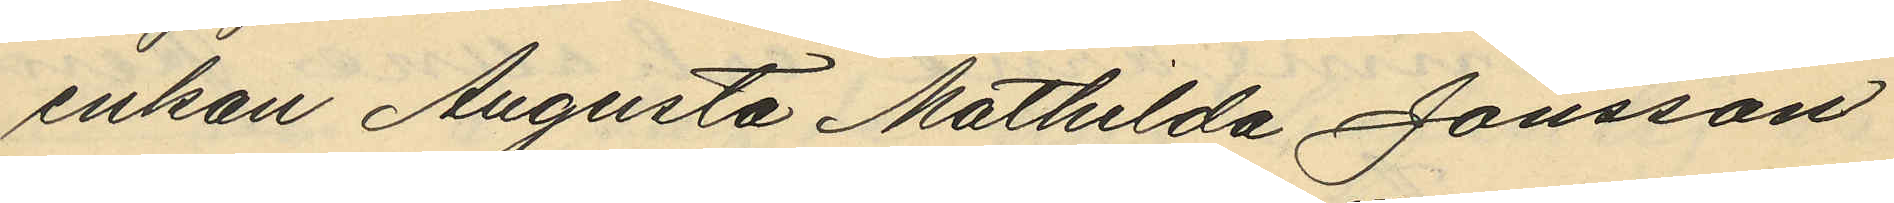enkan Augusta Mathilda Jonsson
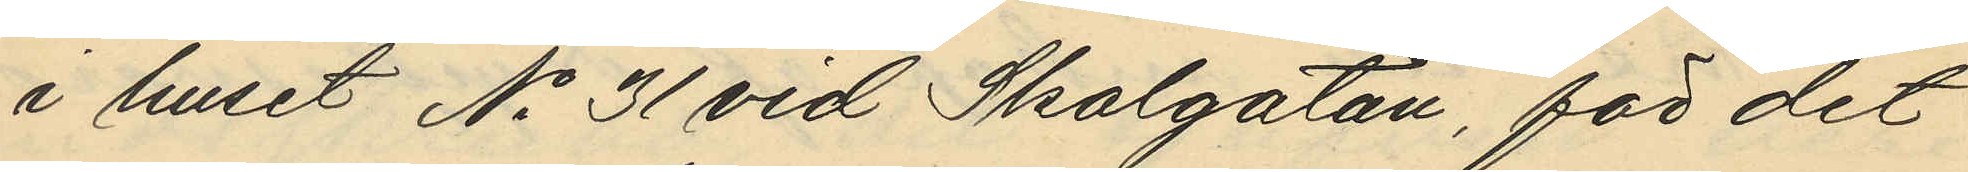i huset No 31 vid Skolgatan, för det
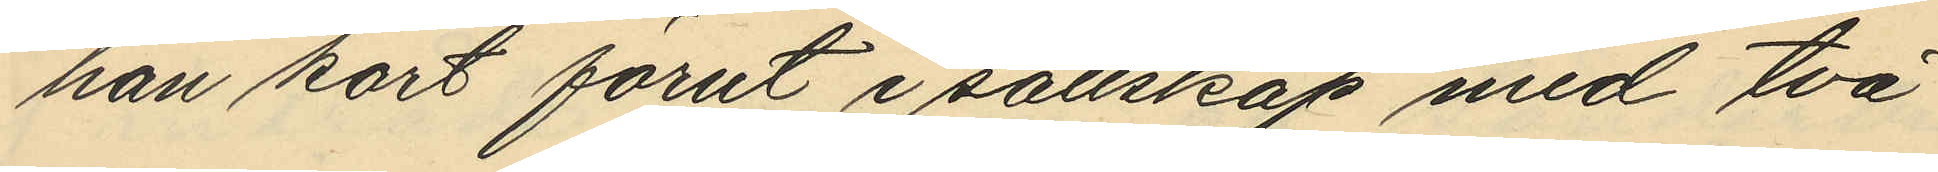han kort förut i sällskap med två
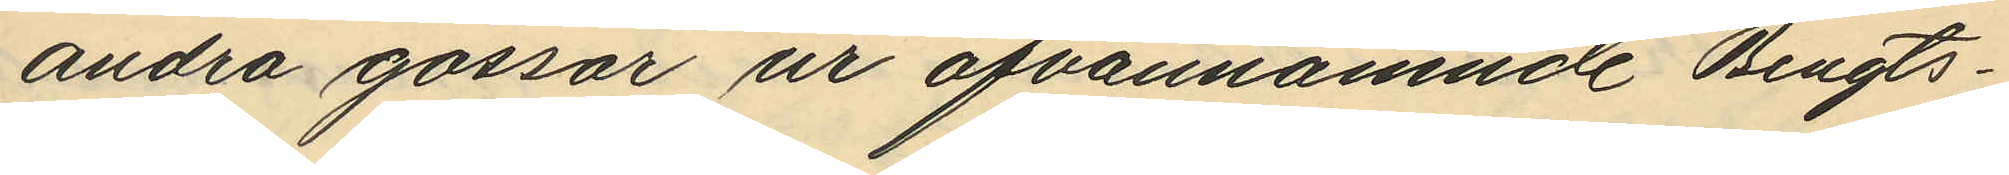andra gossar ur ofvannämnde Bengts¬
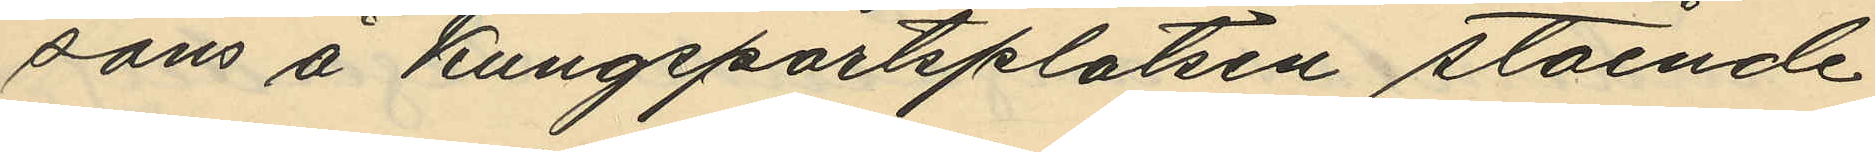sons å Kungsportsplatsen stående
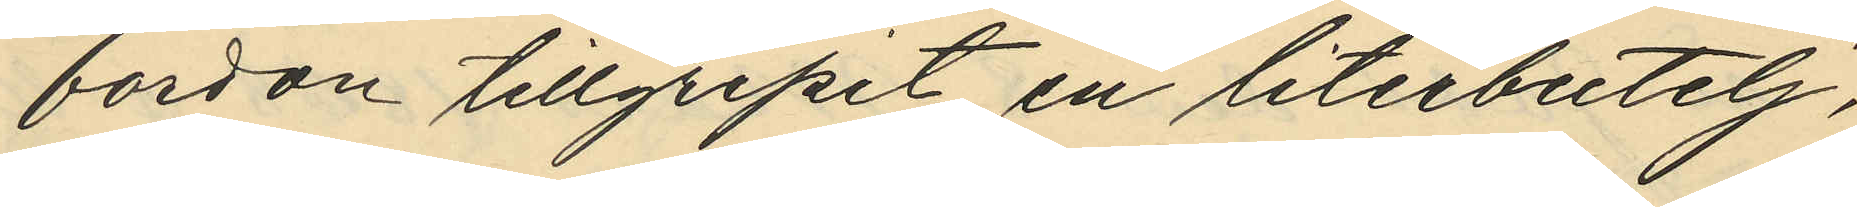fordon tillgripit en literbutelj,
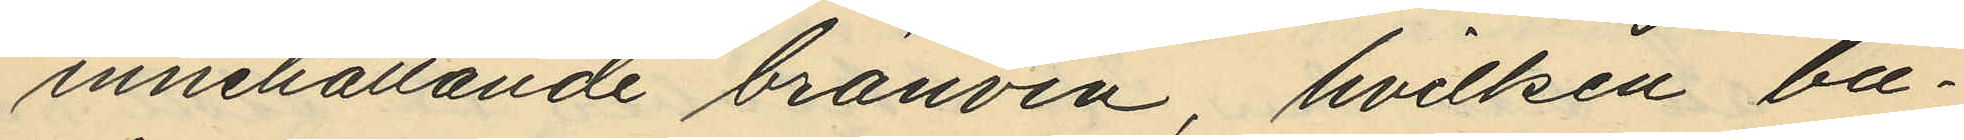innehållande bränvin, hvilken bu¬
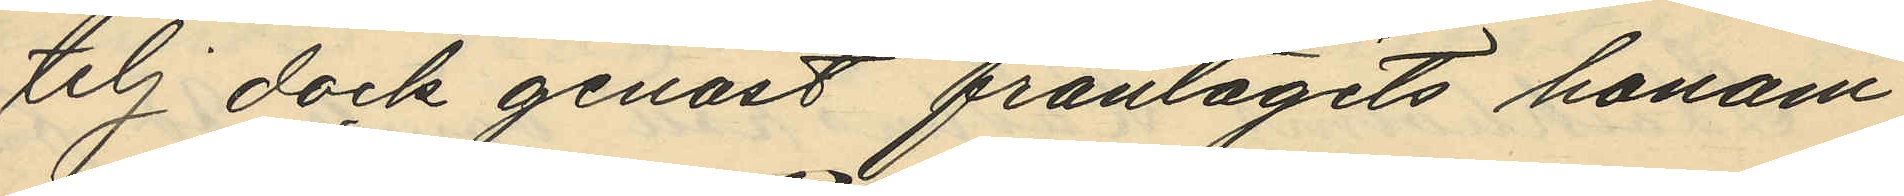telj dock genast fråntagits honom
